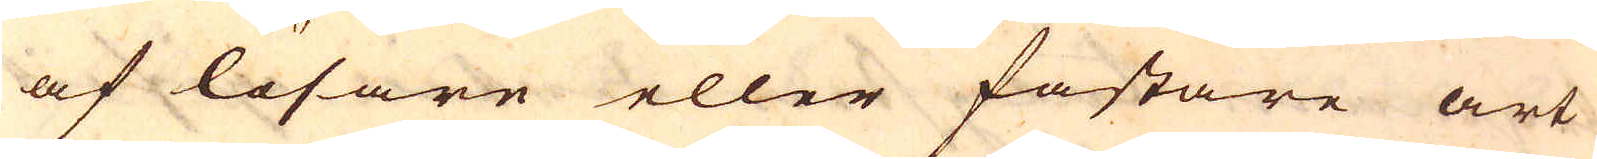af lösare eller fastare art
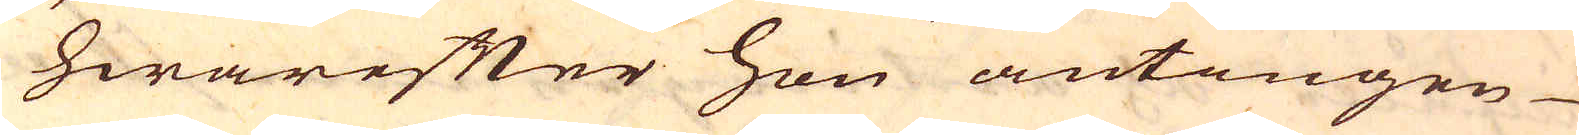hwarefter hon antingen
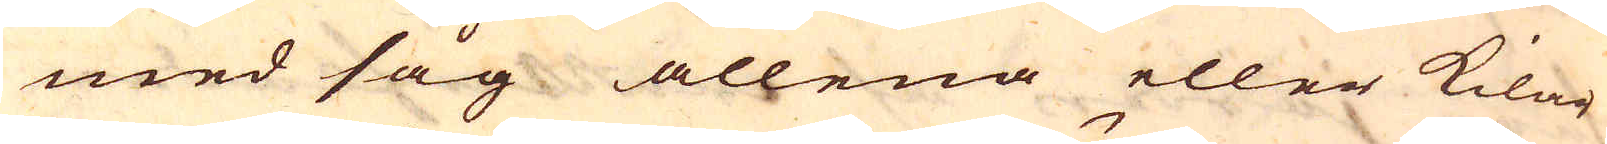med såg allena eller kilar
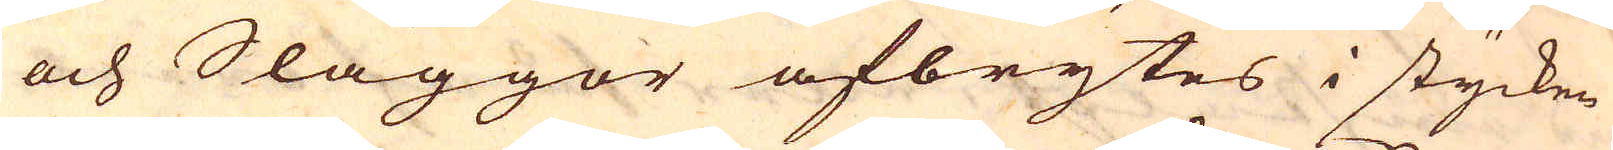och Släggor afbrytes i stycken
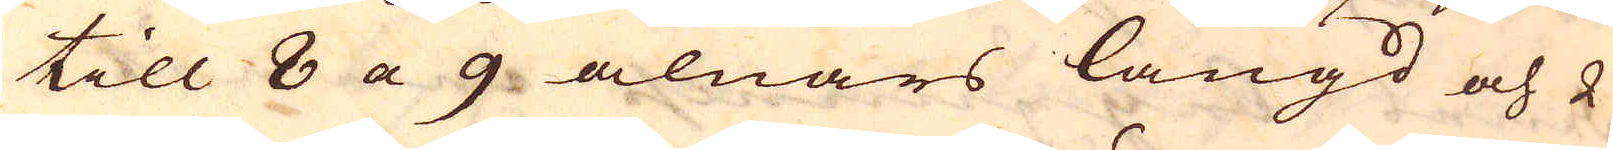till 8 a 9 alnars längd och 2
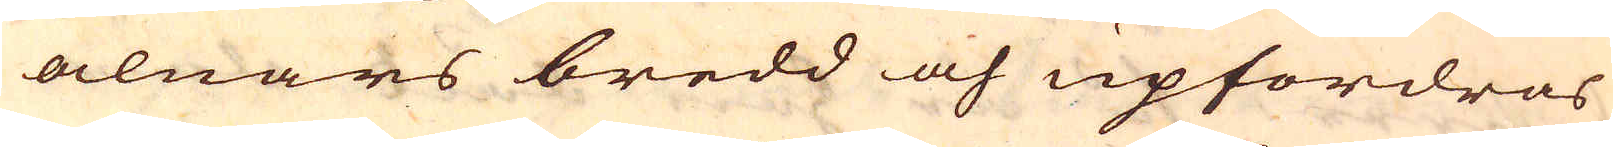alnars bredd och upfordras
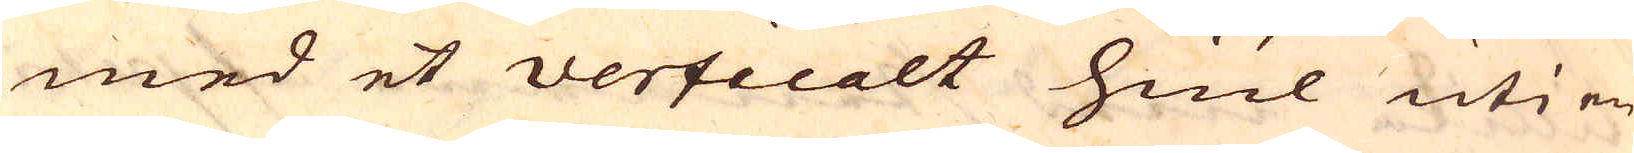med et verticalt hiul uti en
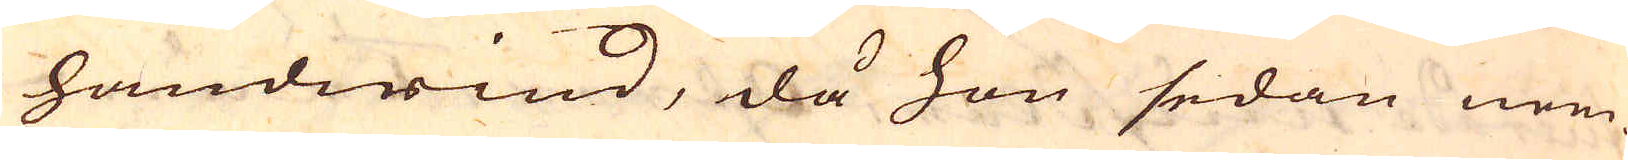handwind, då hon sedan nem-
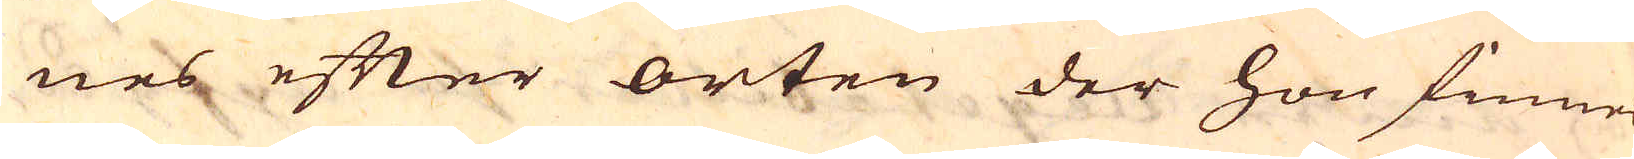nes efter orten der hon finnes
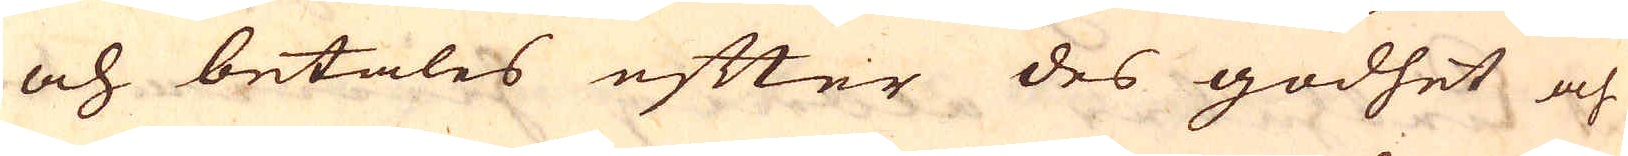och betales efter des godhet och
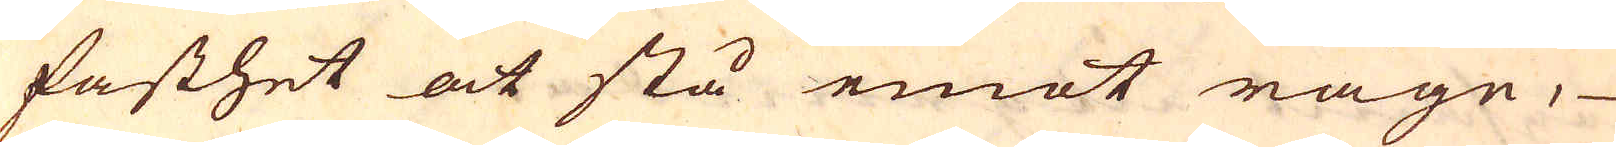fasthet at stå emot rägn,
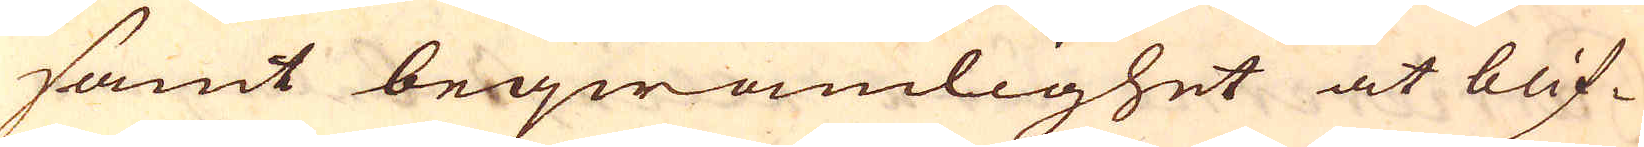samt beqwämlighet at blif-
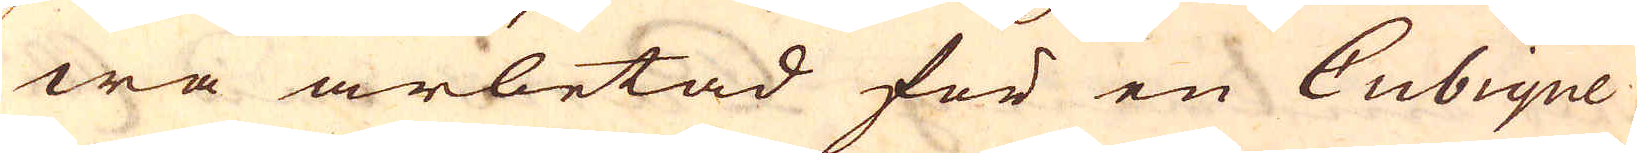wa arbetad för en Cubique
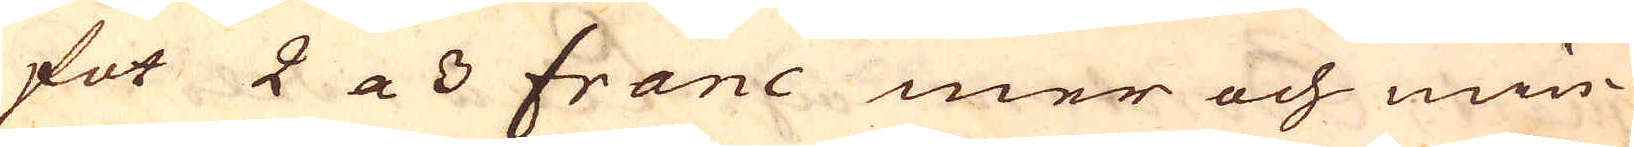fot 2 a 3 franc mer och min-
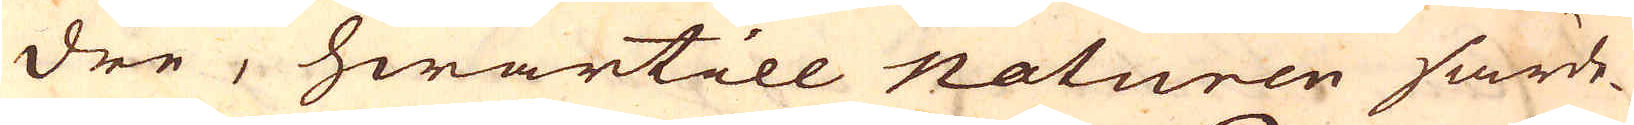dre, hwartill naturen särde-
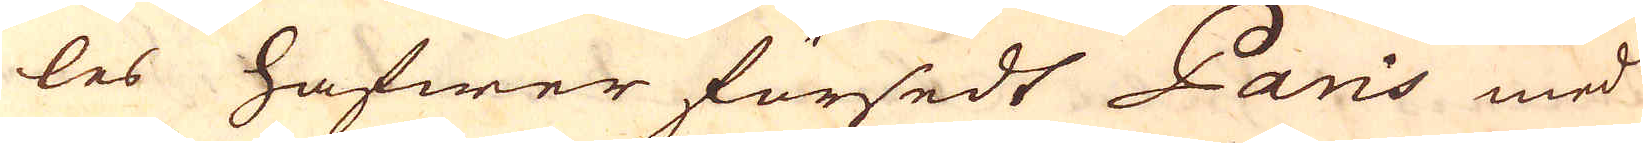les hafwer försedt Paris med
